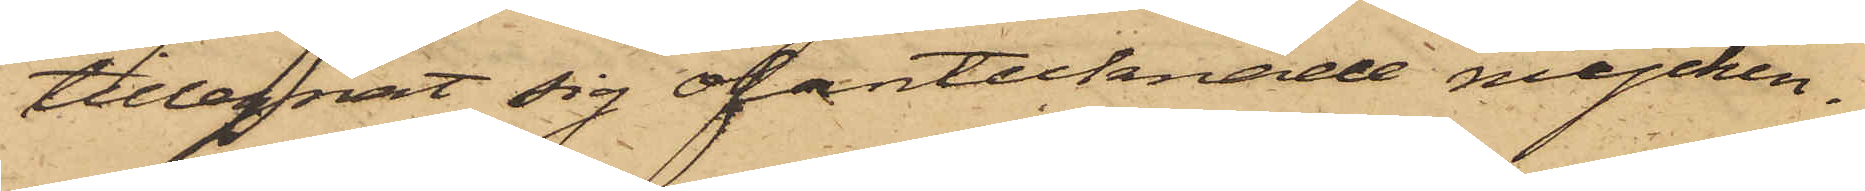tillegnat sig ofantecknade mycken¬
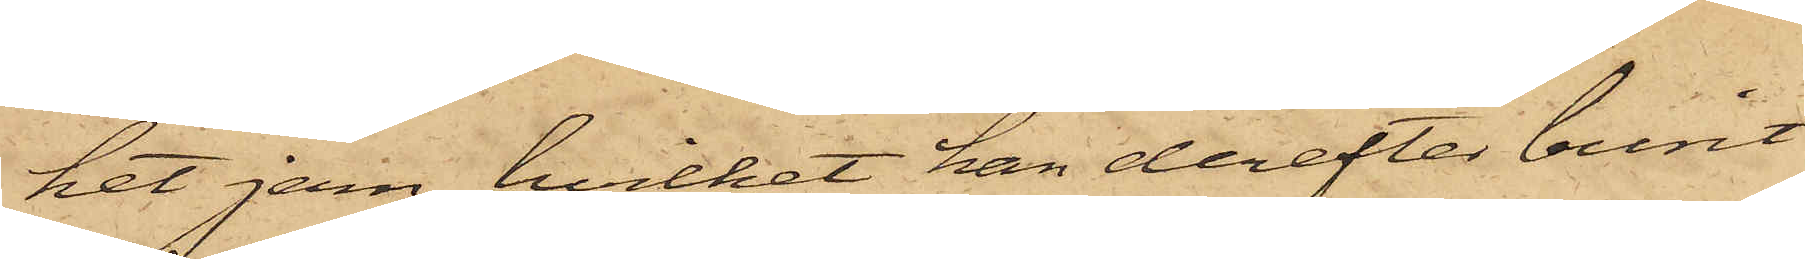het jern, hvilket han derefter burit
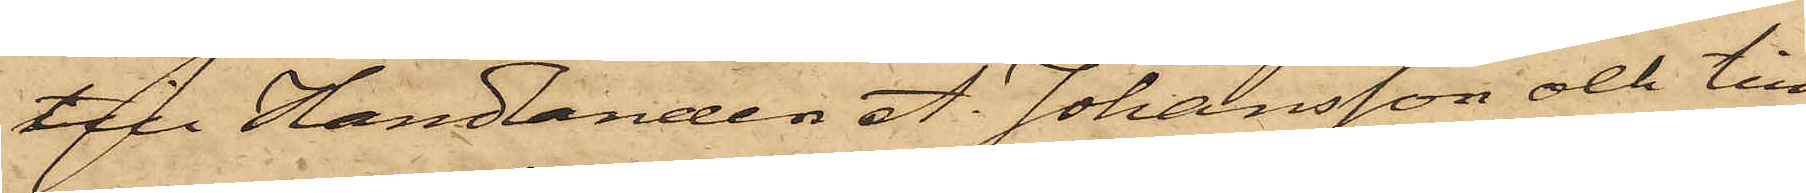till Handlanden A. Johansson och till
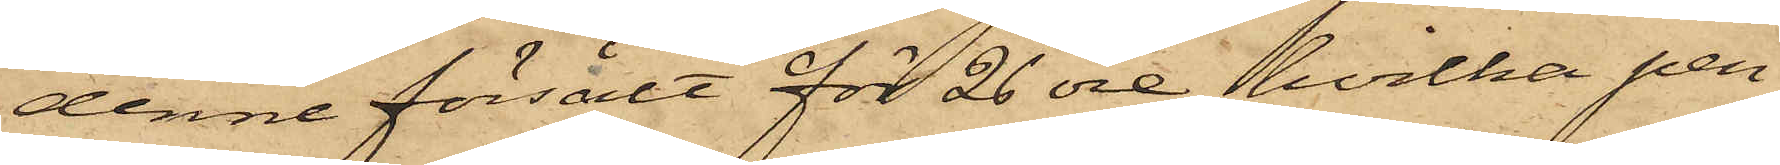denne försålt för 26 öre, hvilka pen¬
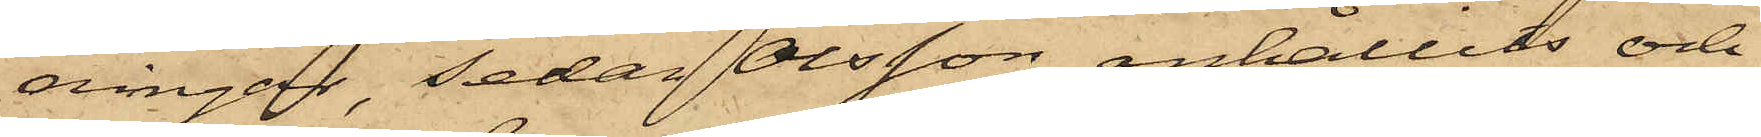ningar, sedan Olsson anhållits och
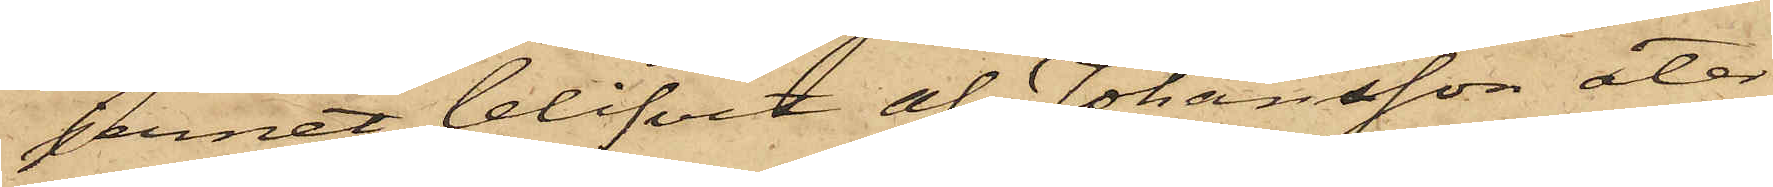jernet blifvit af Johansson åter¬
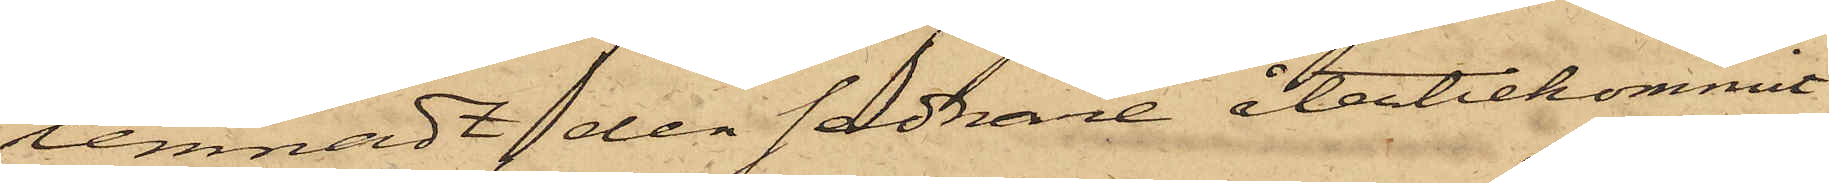lemnadt den sednare återbekommit.
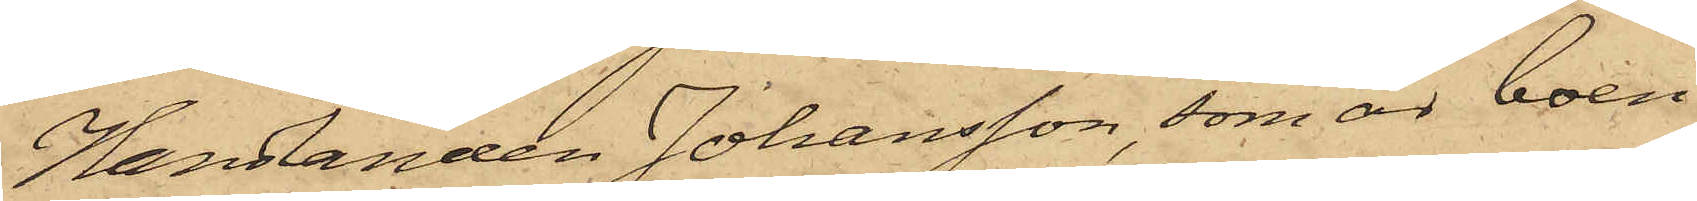Handlanden Johansson, som är boen¬
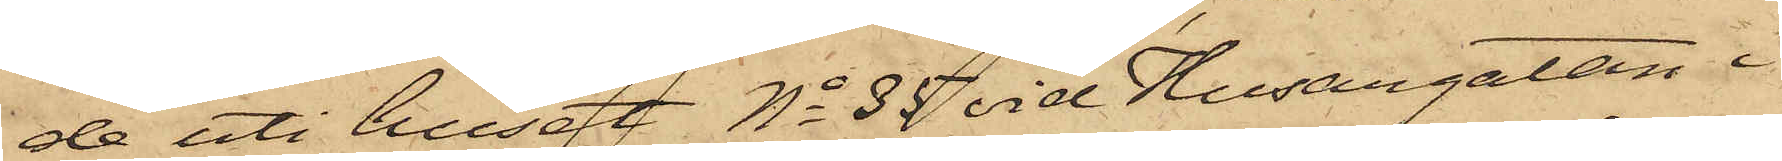de uti huset No 35 vid Husargatan i
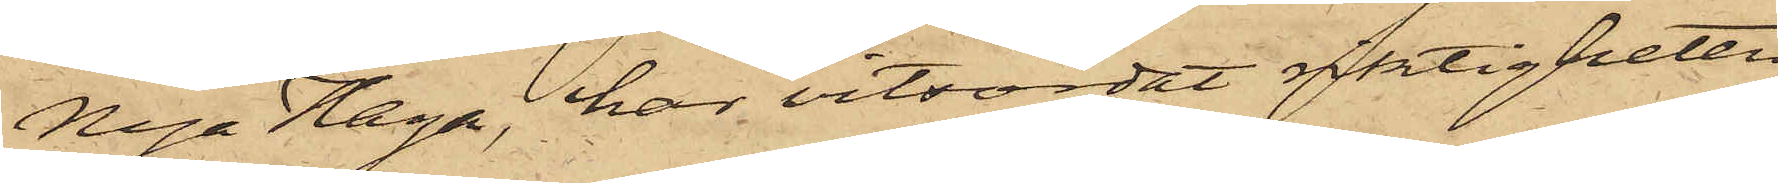Nya Haga, har vitsordat riktigheten
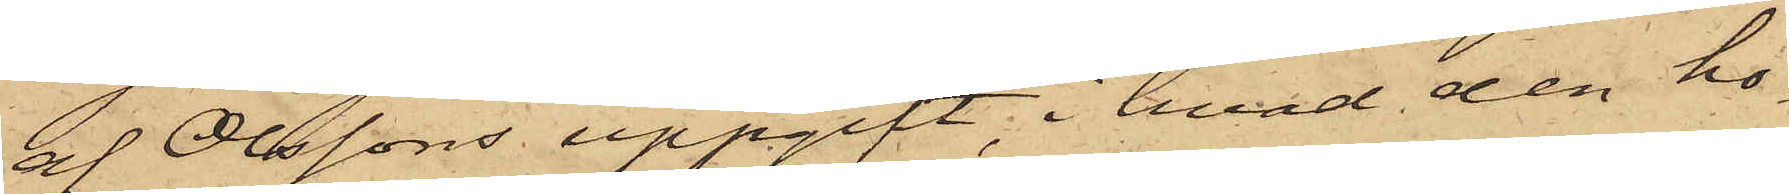af Olssons uppgift, i hvad den ho¬
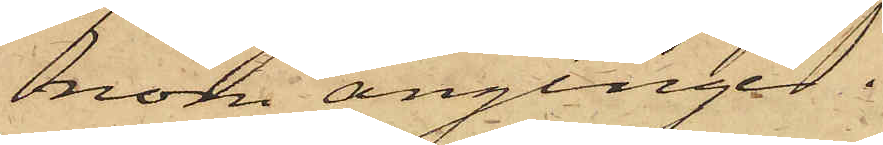nom anginge.
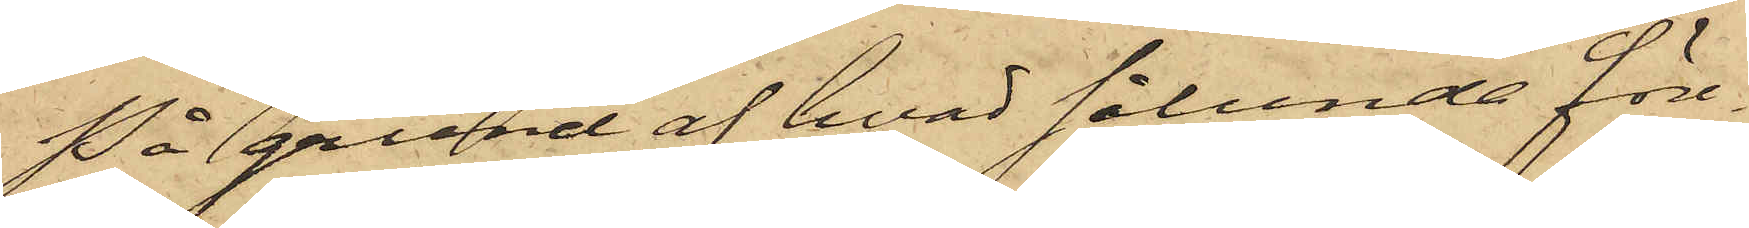På grund af hvad sålunda före¬
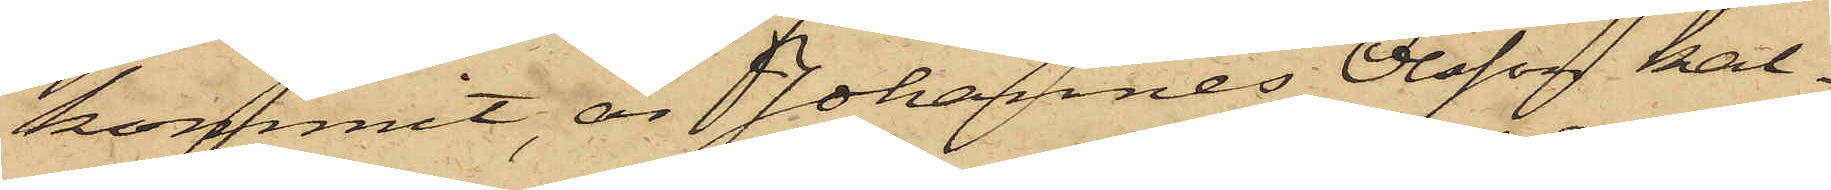kommit, är Johannes Olsson kal¬
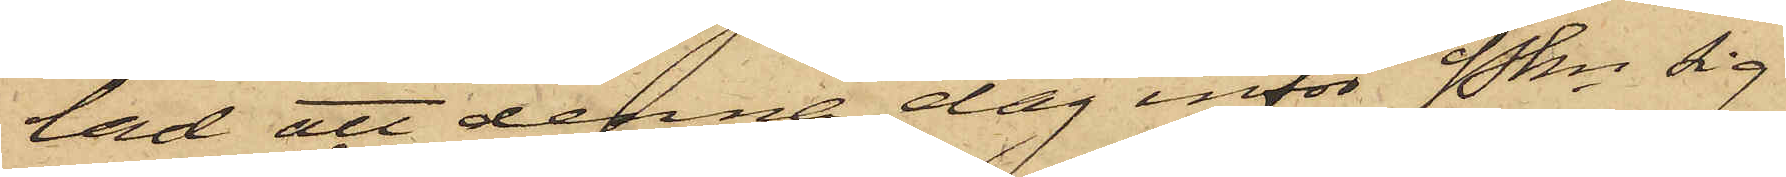lad att denna dag inför Pkn sig
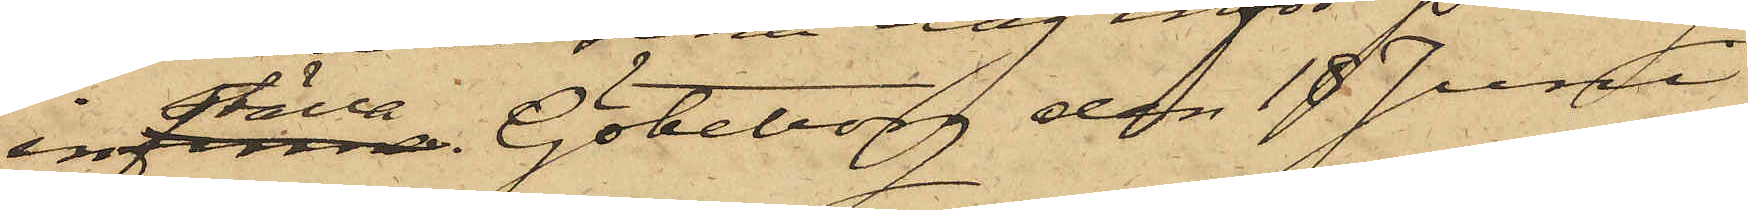inställa. Göteborg den 18 Juni
